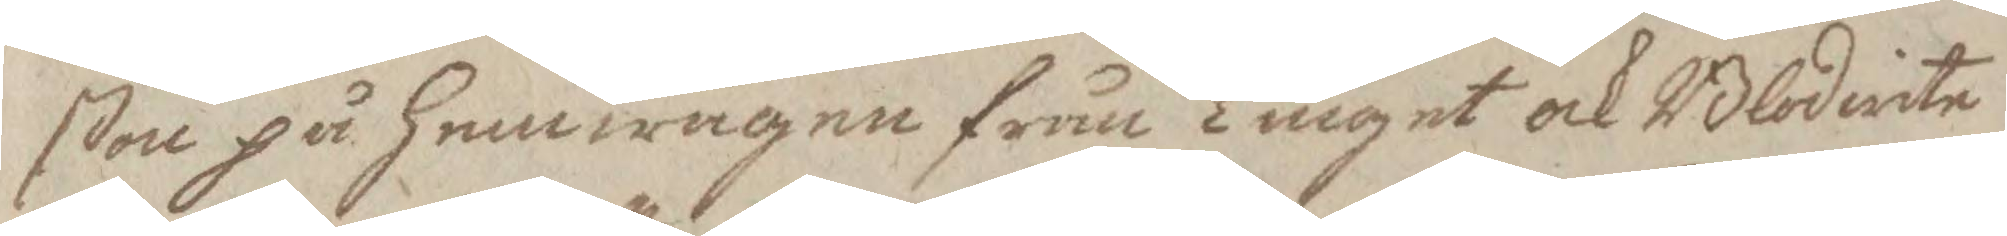ßon på hemwägen från Tinget och Blodwite
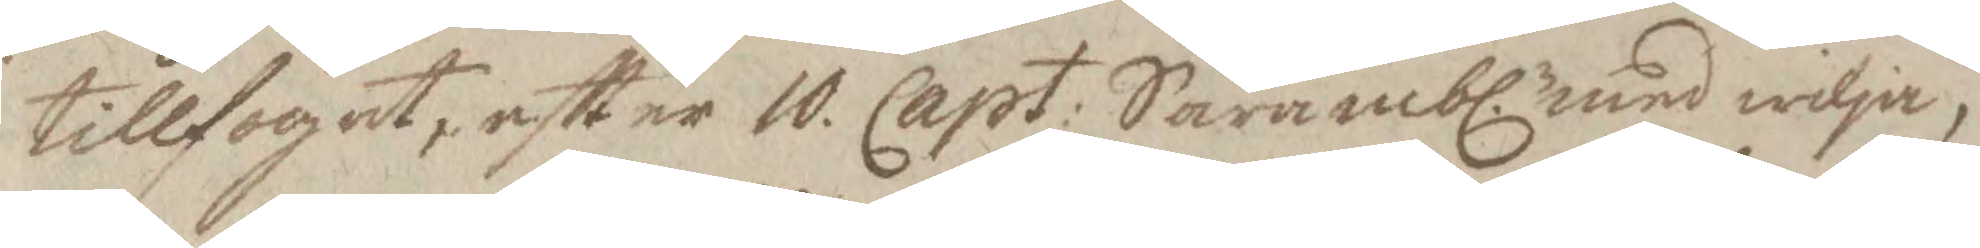tillfogat, eftter 10 Capt. Sårambl. med wilja,
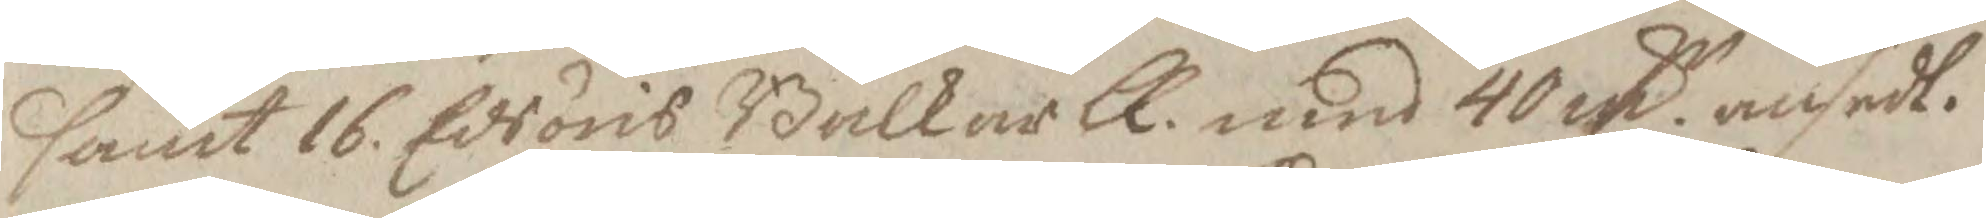samt 16 Edsöris Balkar LL. med 40 m.r ansedt.
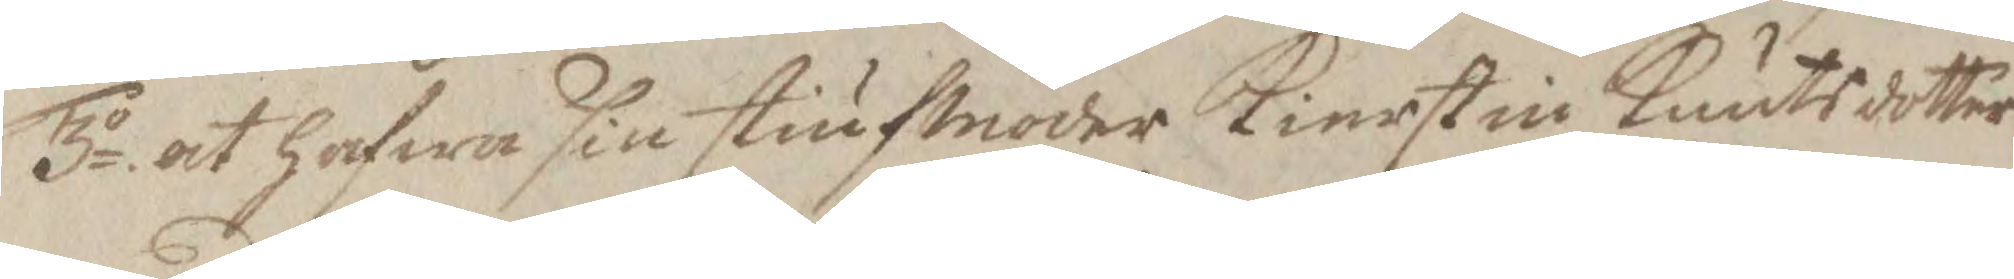3o. at hafwa sin stiufmoder Kierstin Knutsdotter
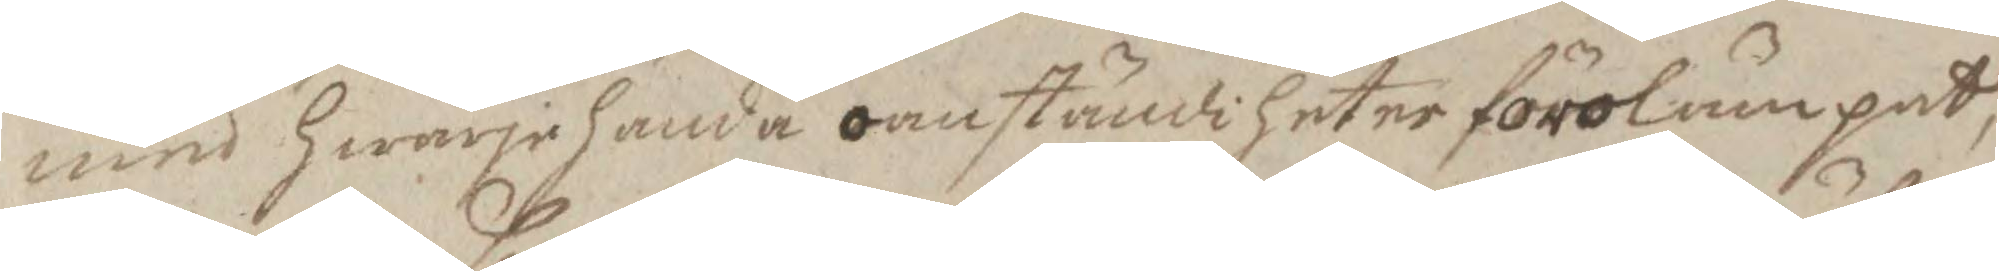med hwarjehanda omständigheter förolämpat,
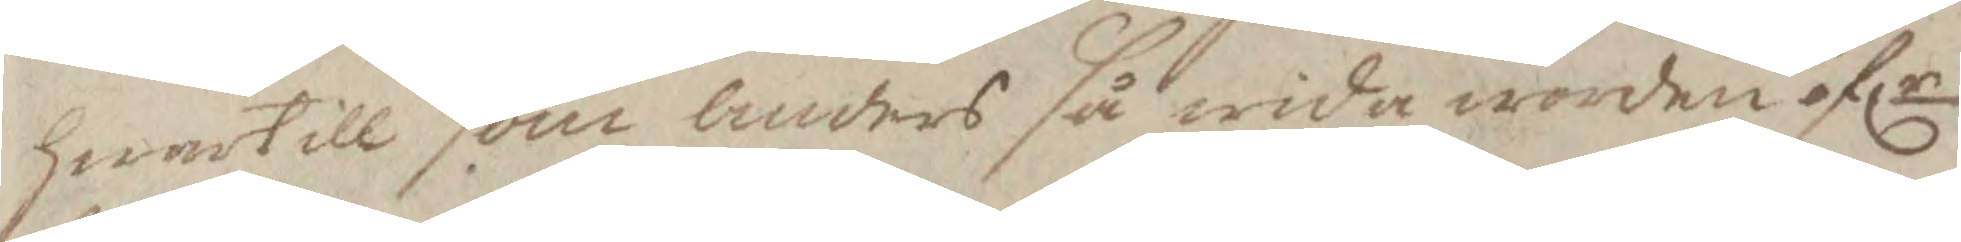hwartill som anders så wida worden öflr
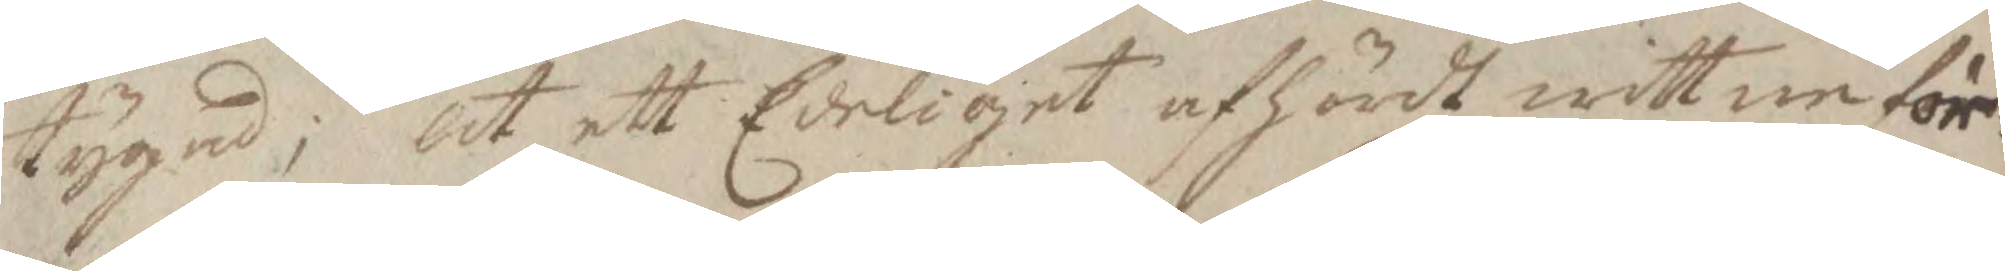tygad; at ett Ederligit afhördt wittne för¬
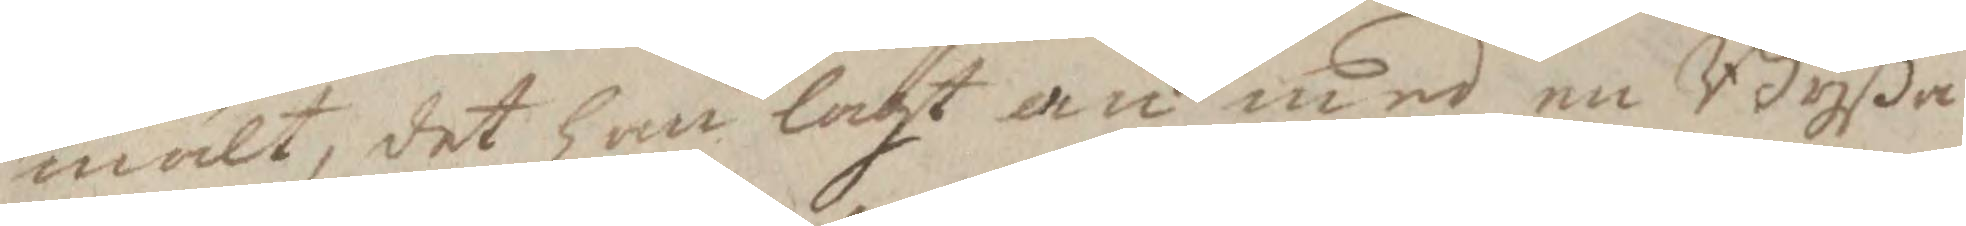mält, det han lagt an med en Byßa
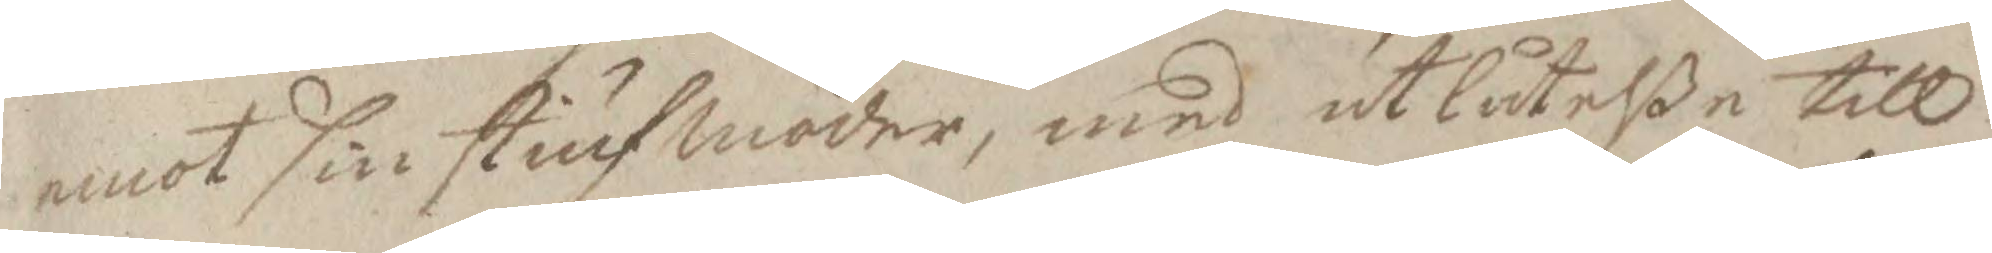emot sin stiufmoder, med utlåtelße till
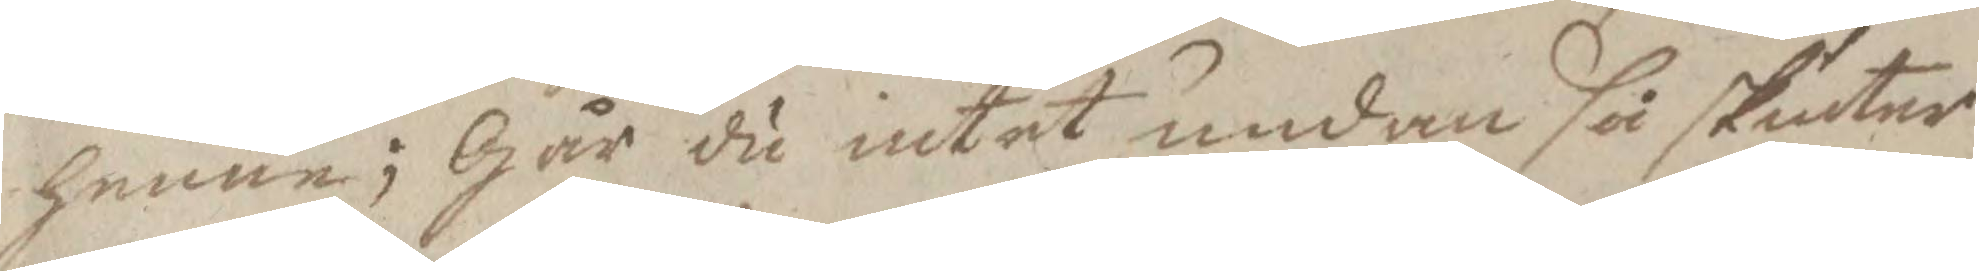henne Gär du intet undan så skiuter
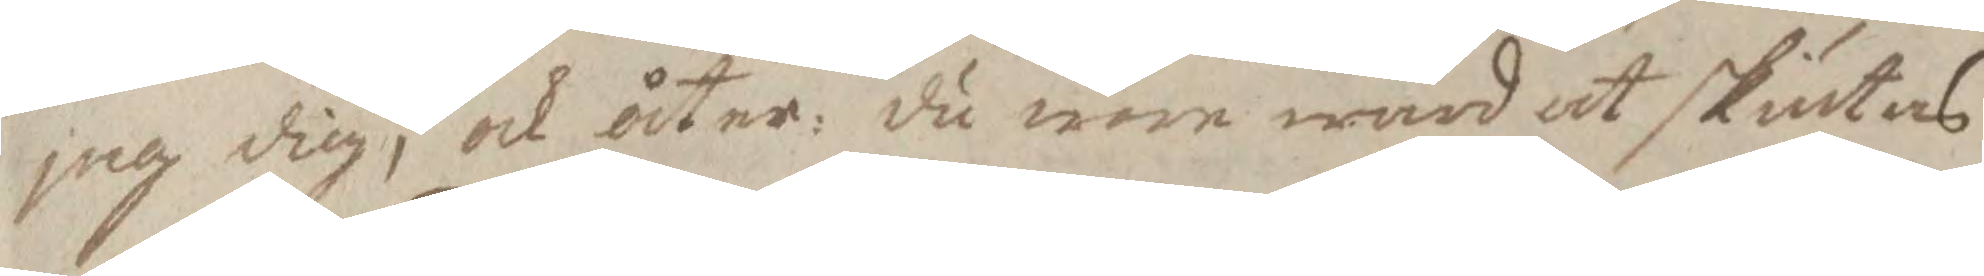jag dig, och åter: du wore wärd at skiutas
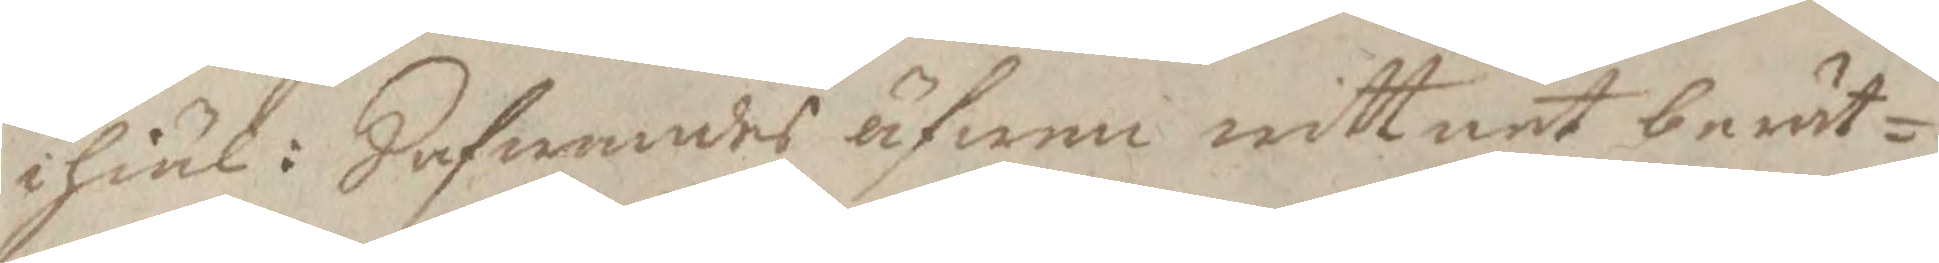ihiäl: Hafwandes äfwen wittnet berät¬
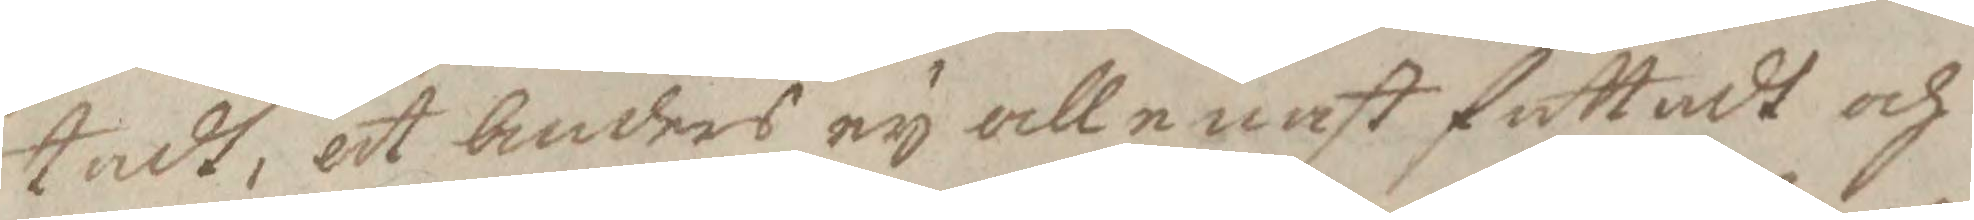tadt, at Anders ey allenast fattadt och
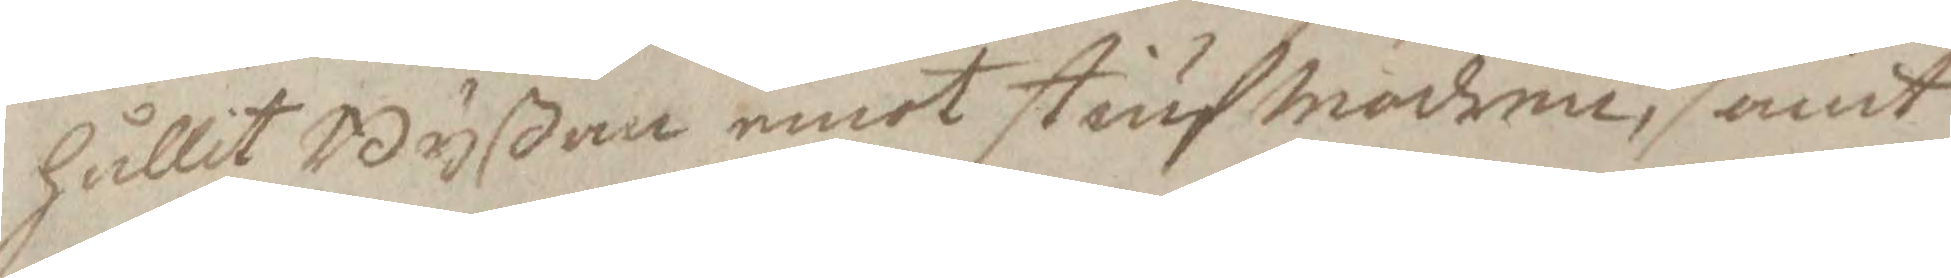hållit Byßan emot stiufmodern, samt
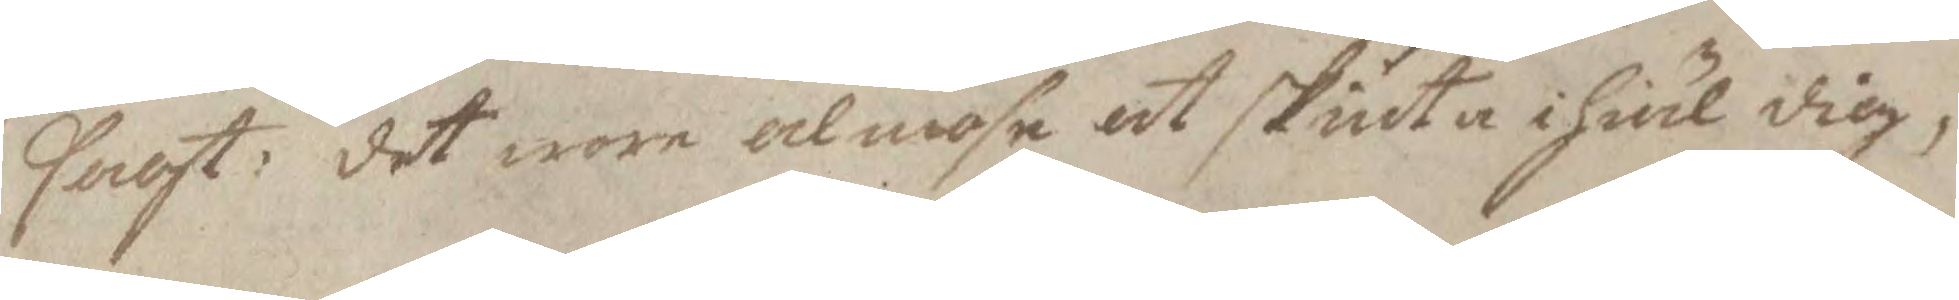sagt; det wore almose at skiuta ihiäl dig,
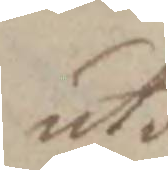utan
